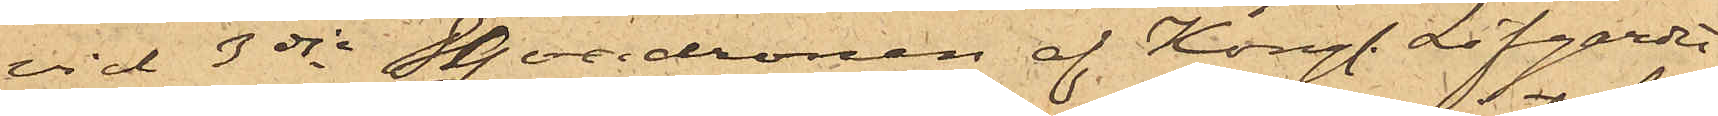vid 3dje Sqvadronen af Kongl. Lifgardet
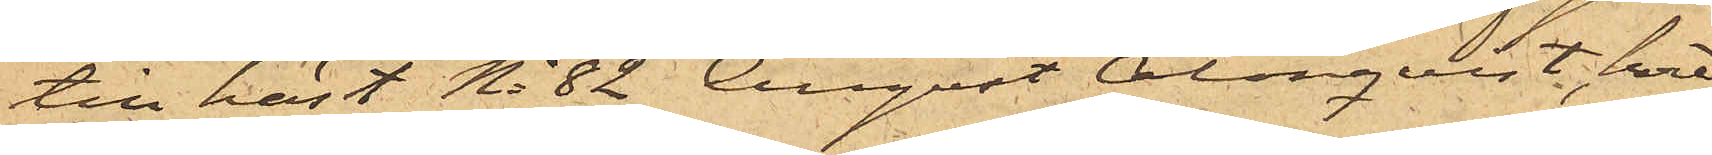till häst No 82 August Almqvist, hvil¬
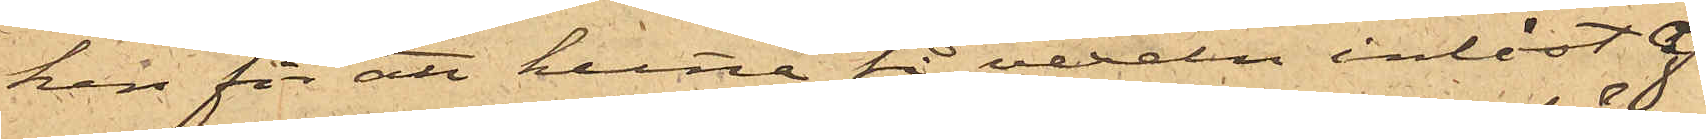ken för att kunna få vexeln inlöst af
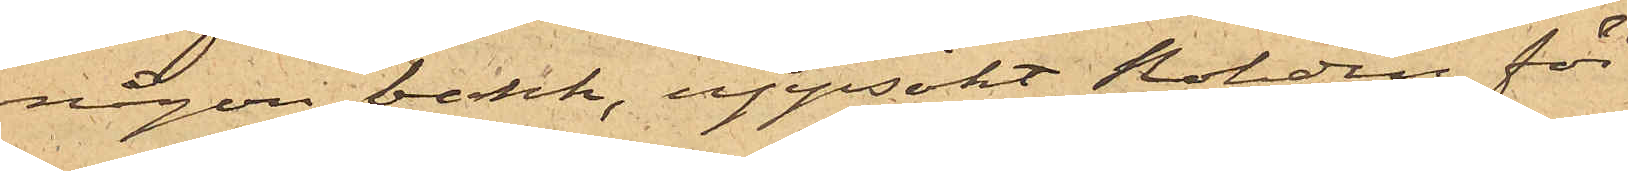någon butik, uppsökt Rohdin för
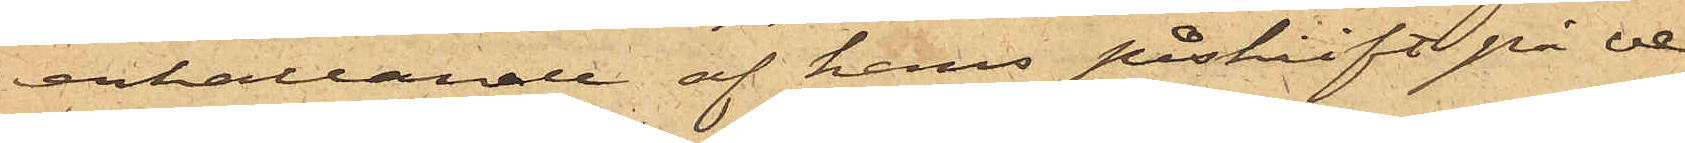erhållande af hans påskrift på ve¬
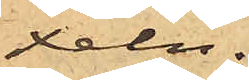xeln.
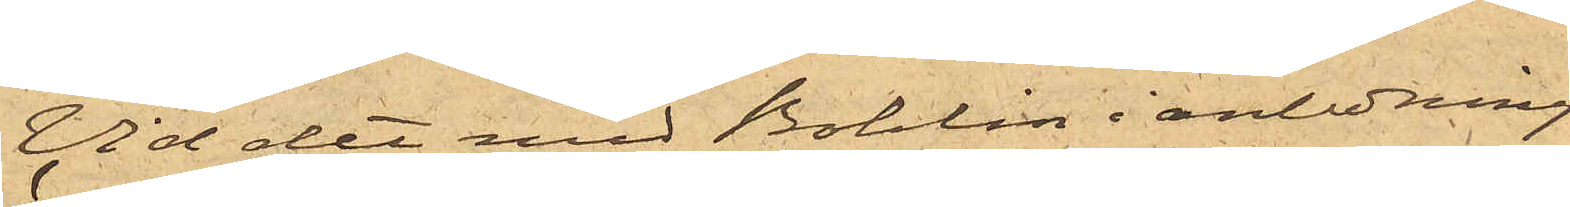Vid det med Bohlin i anledning
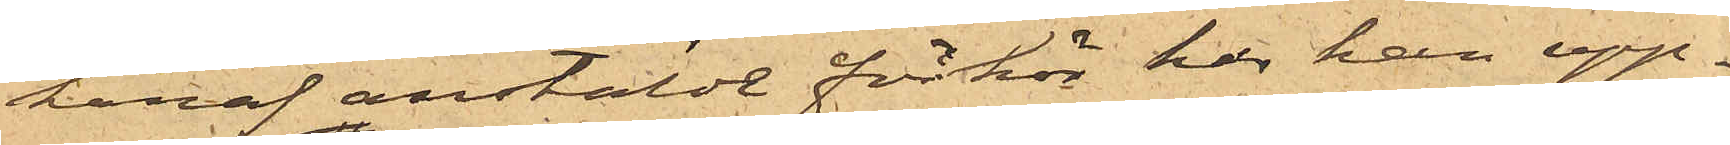häraf anstäldt förhör har han upp¬
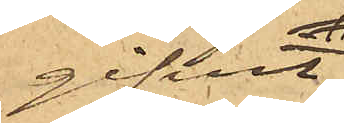gifvit,
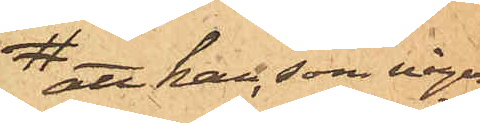 att han, som någon
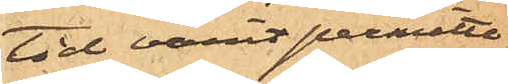tid varit permitte¬
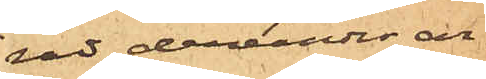rad, derunder ar¬
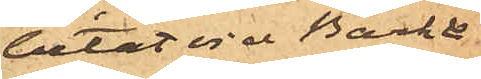betat vid Bark &
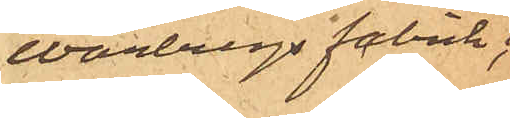Warbergs fabrik;
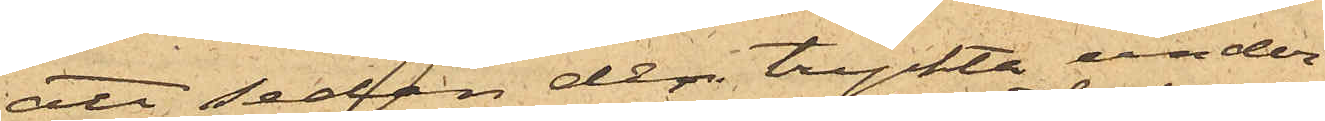att sedan den tryckta under¬
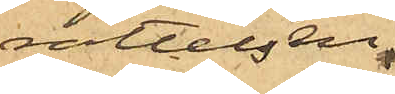rättelsen,
